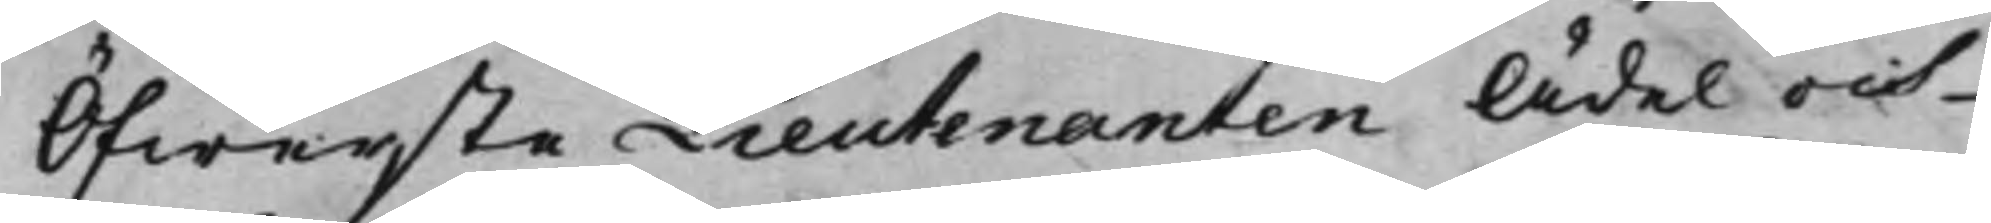Öfwerste Lieutenanten Ädel och
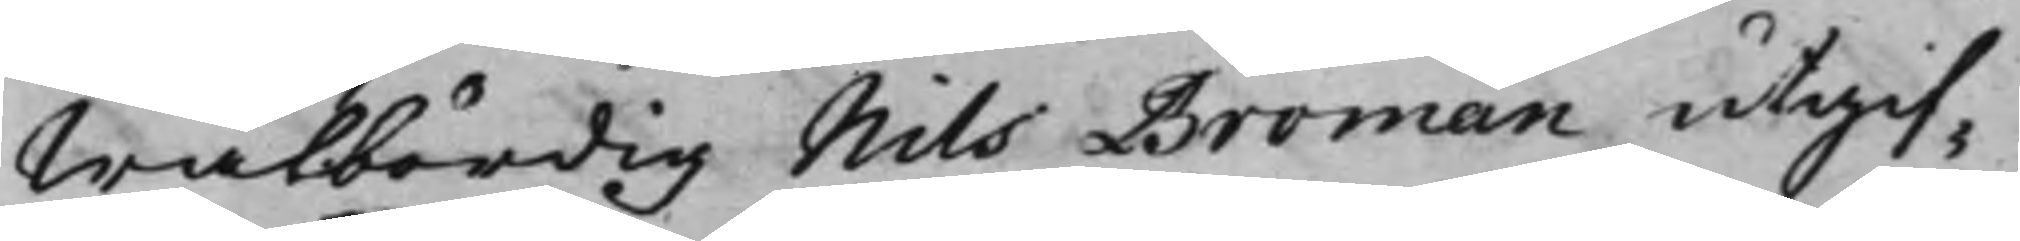Wälbördig Nils Broman utgif¬
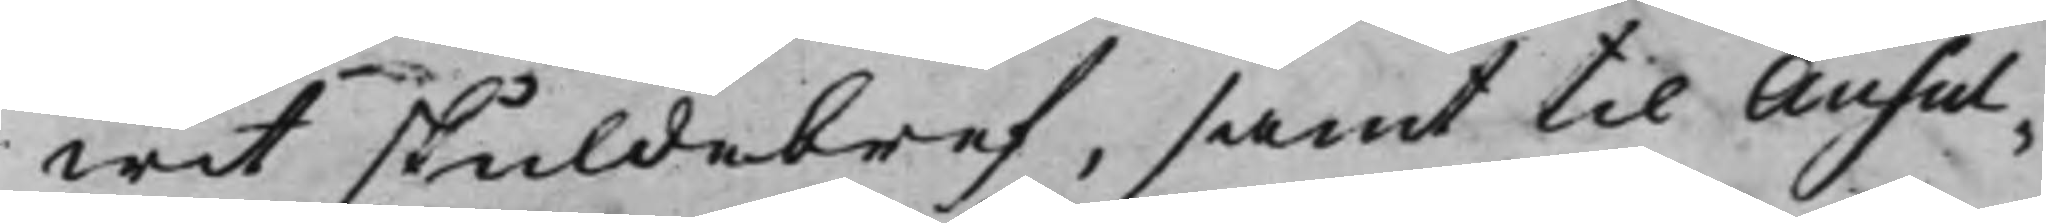wit skuldebref, samt til Ausul¬
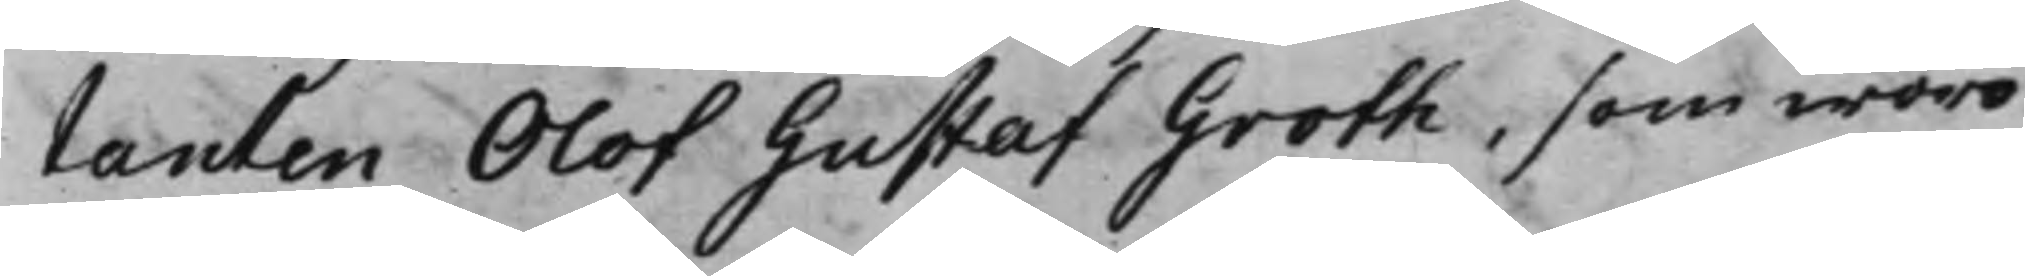tanten Olof Gustaf Groth, som woro
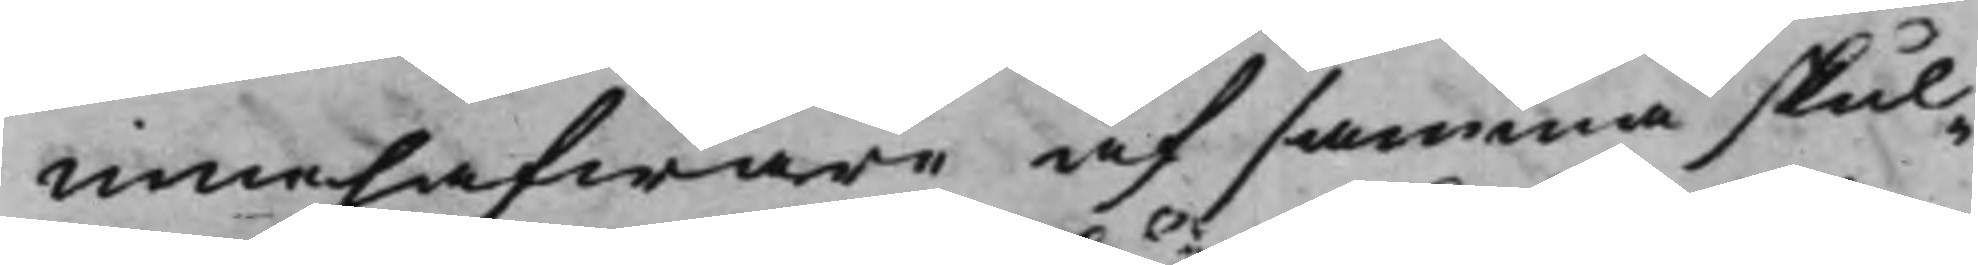innehafware af samma skul¬
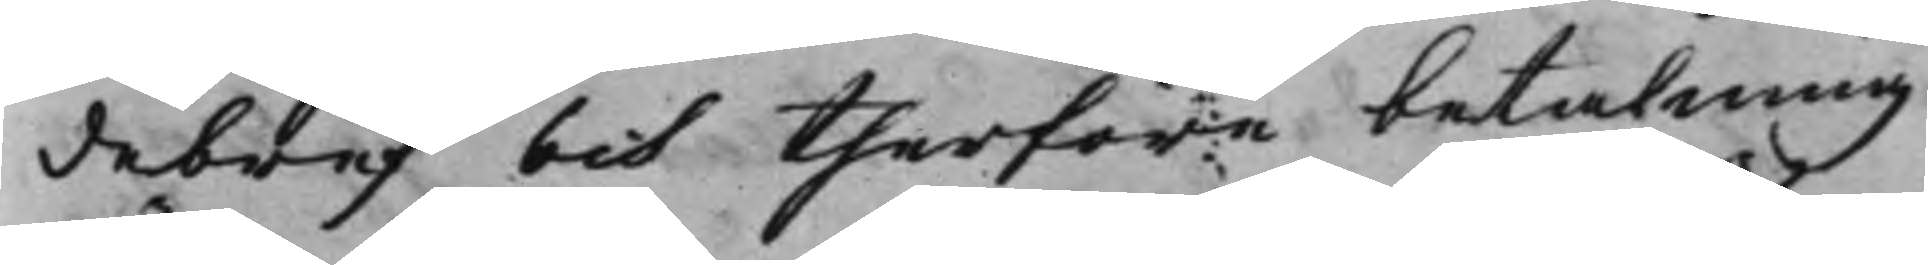debref och therföre betalning
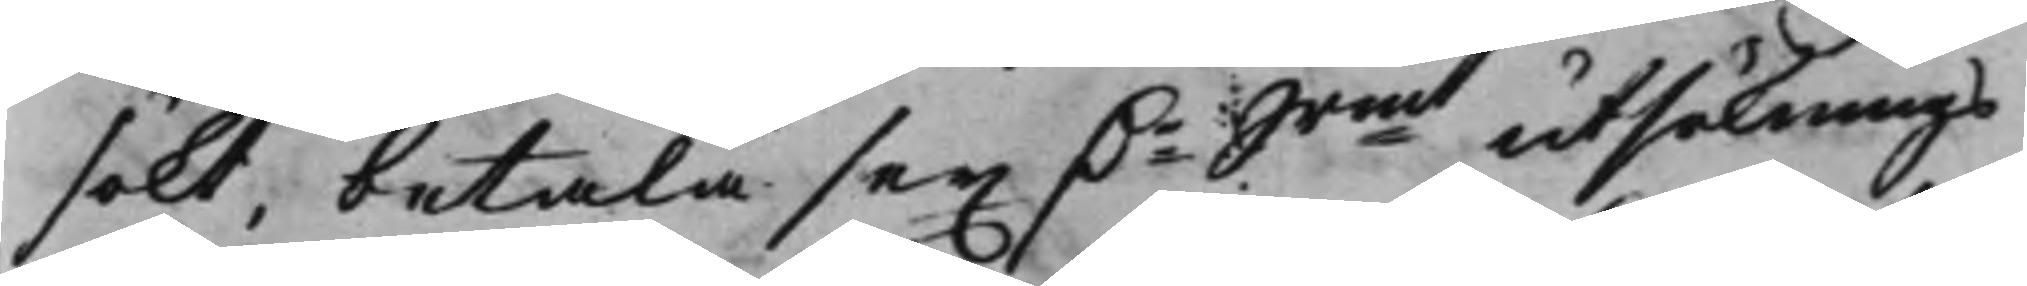sökt, betala sex Dr Srmt utsöknings¬
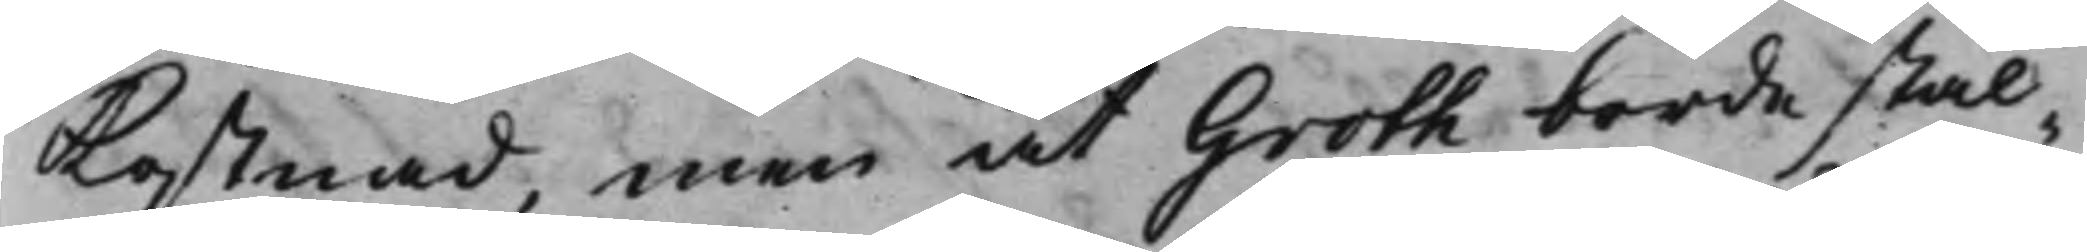Kostnad, men at Groth borde stäl¬
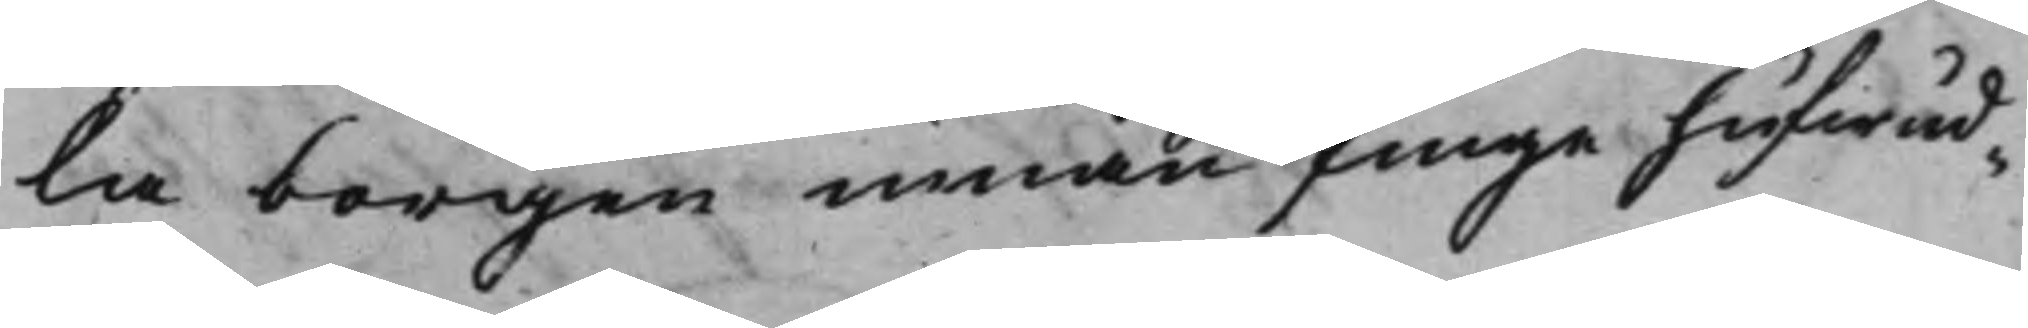la borgen innan finge hufwud¬
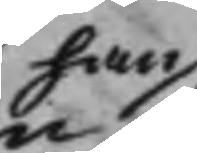han
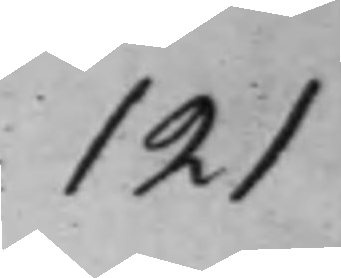121
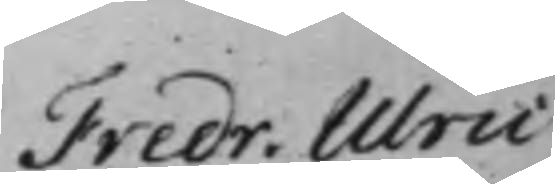Fredr. Ulric
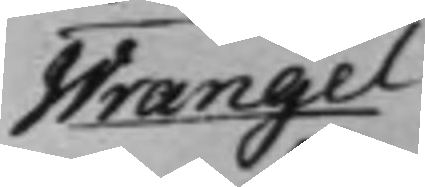Wrangel
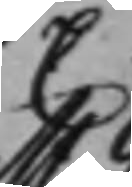C.
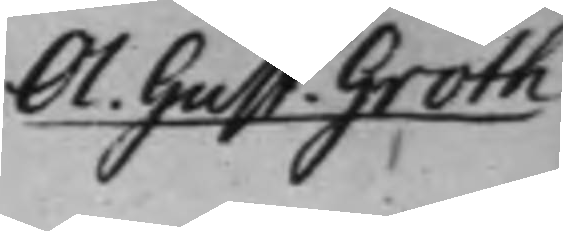Ol. Gust. Groth
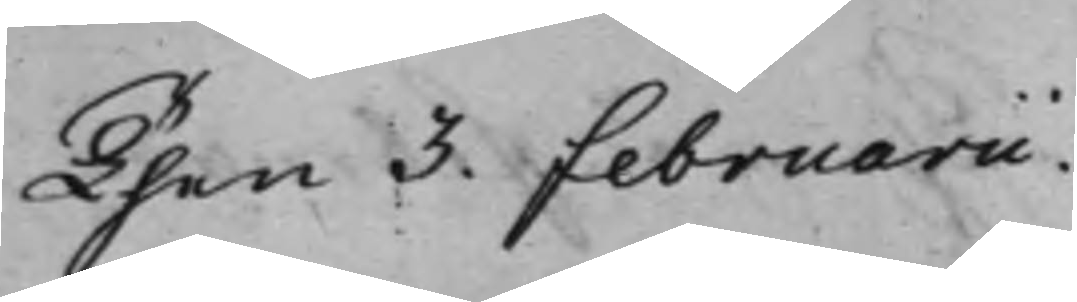Then 3. Februarii.
